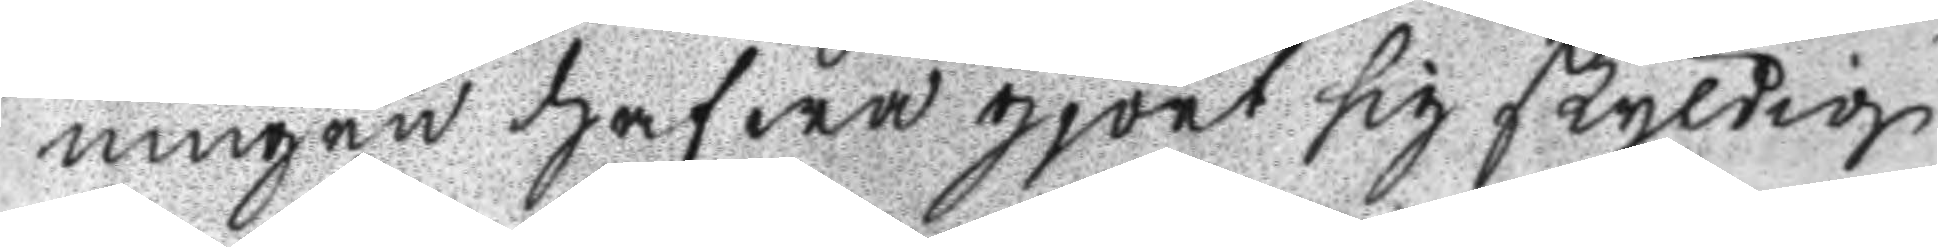ningen hafwa gjort sig skyldig
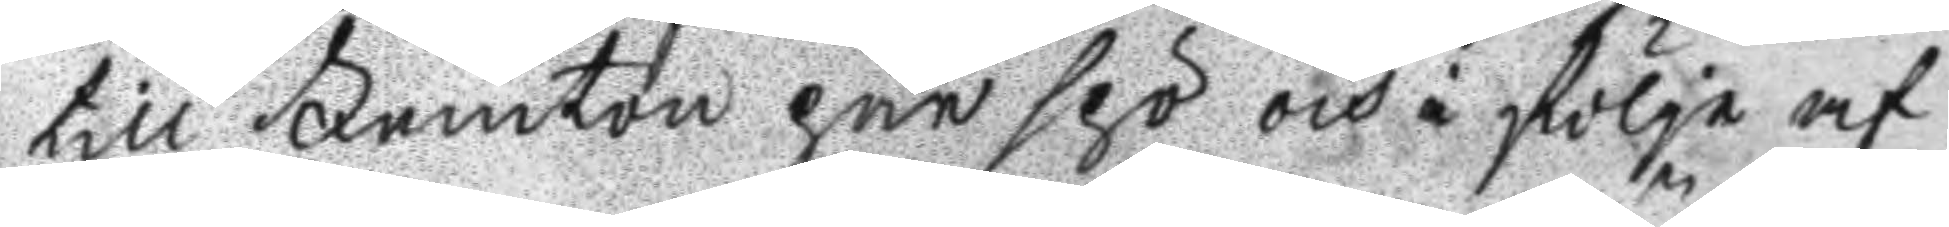till Femton par spö och i följe af
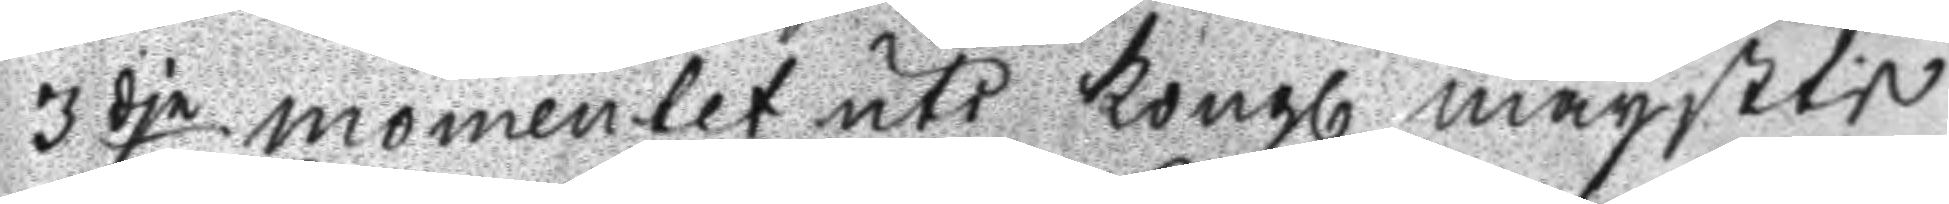3dje momentet uti Kongl. maystes
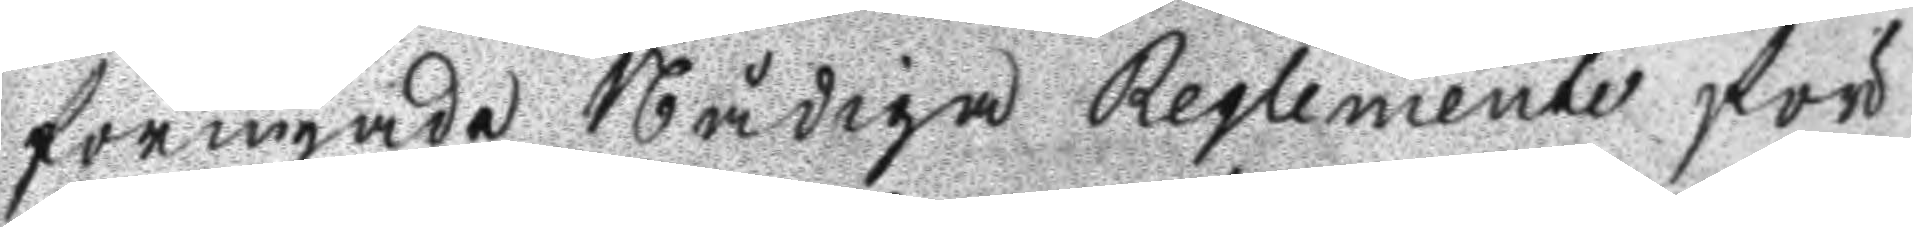förnyade Nådiga Reglemente för
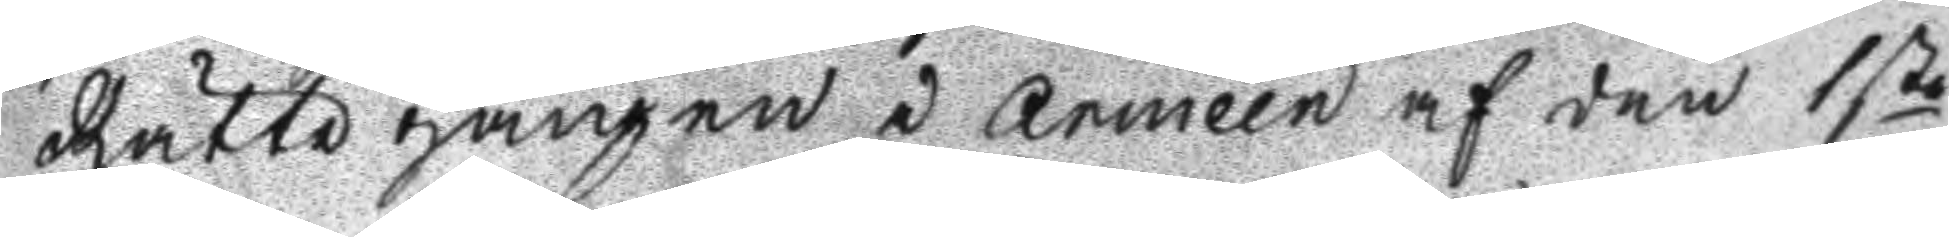Rätte gången i Armeén af den 1sta
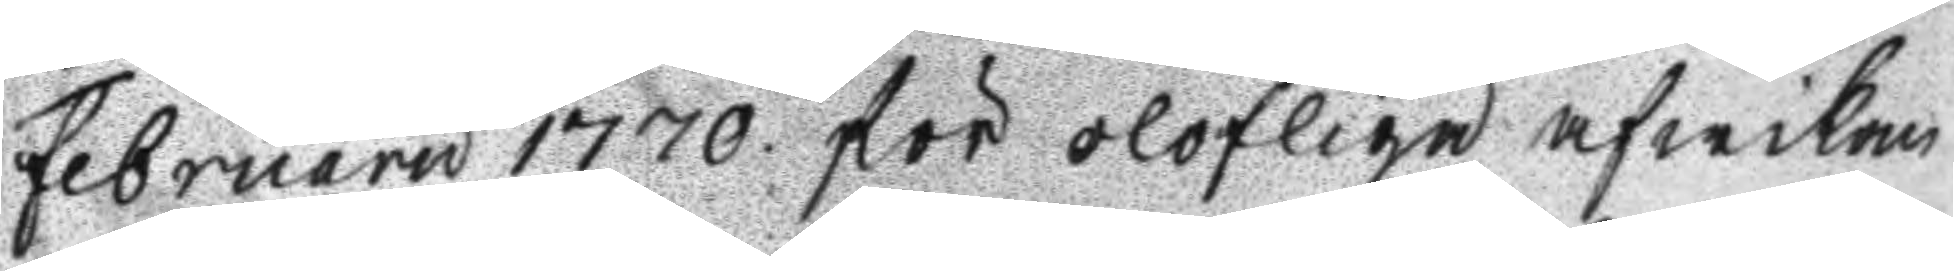Februaru 1770 för olofligen afwikan
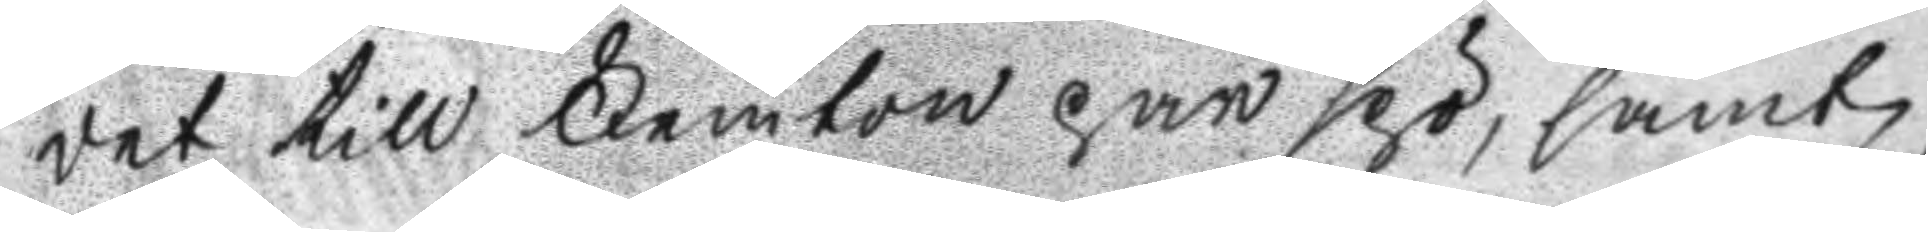det till Femton par spö, samt
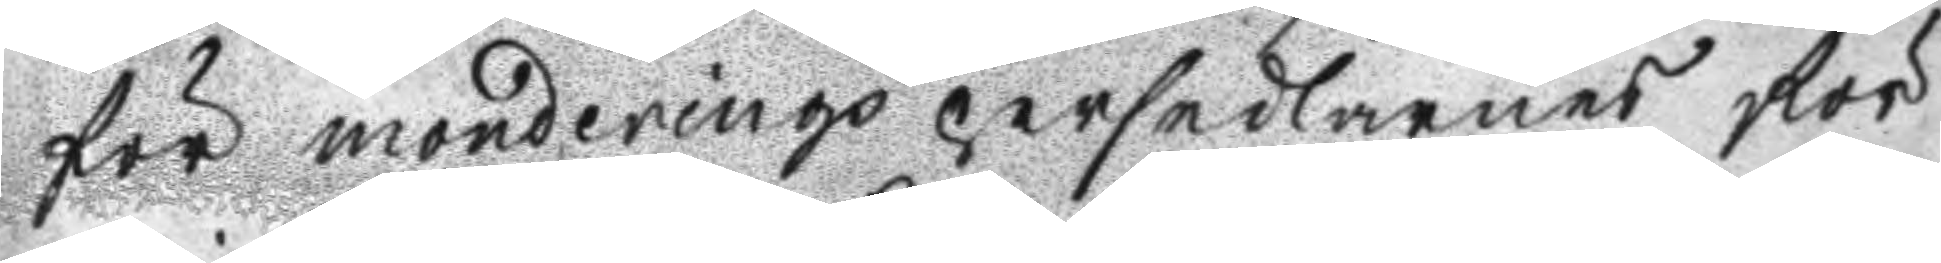för monderings persedlarnes För
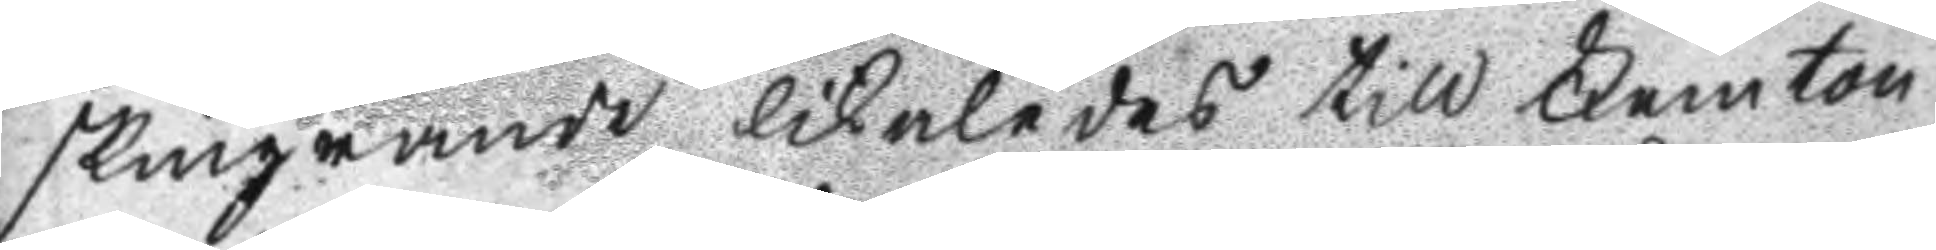skingrande likaledes Femton
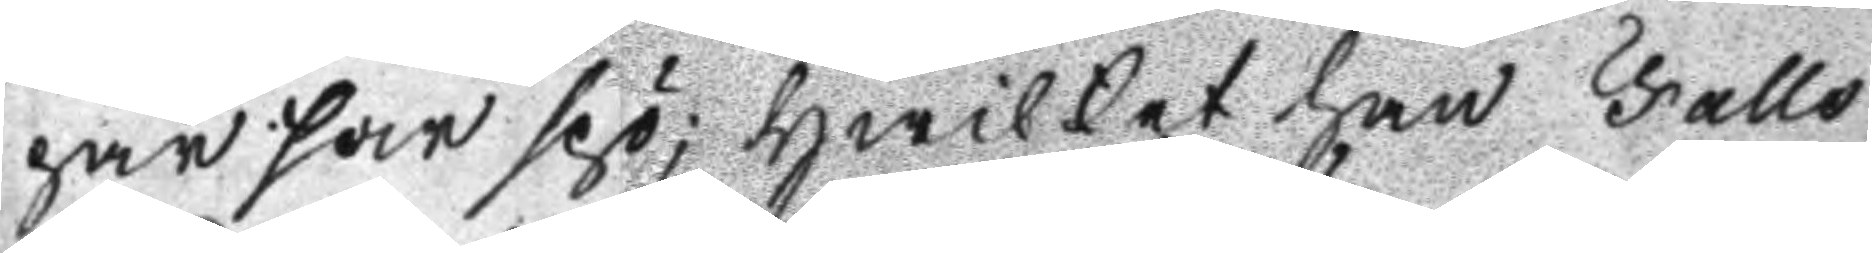par spö; hwilket han Falls
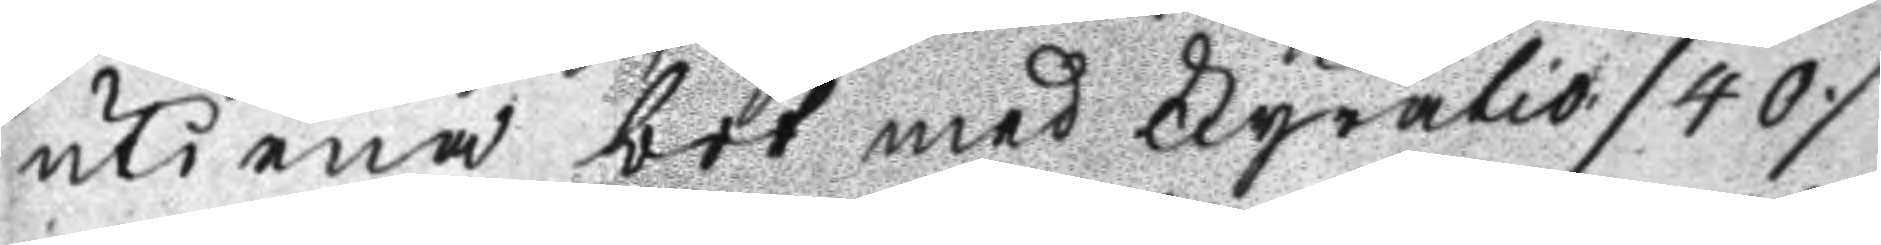uti ena bot med Fyratio /40/
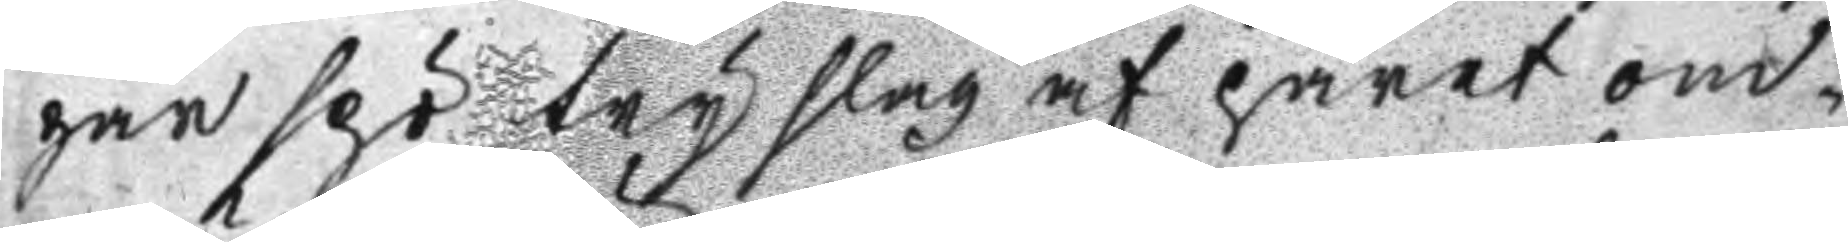par spö try slag af paret om¬
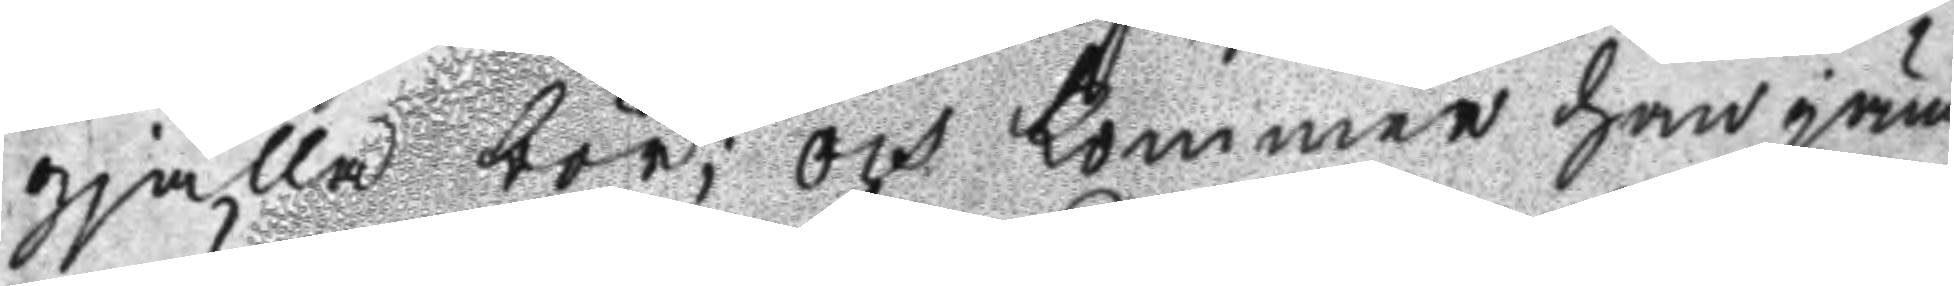gjälla bör; och kommer han jäm
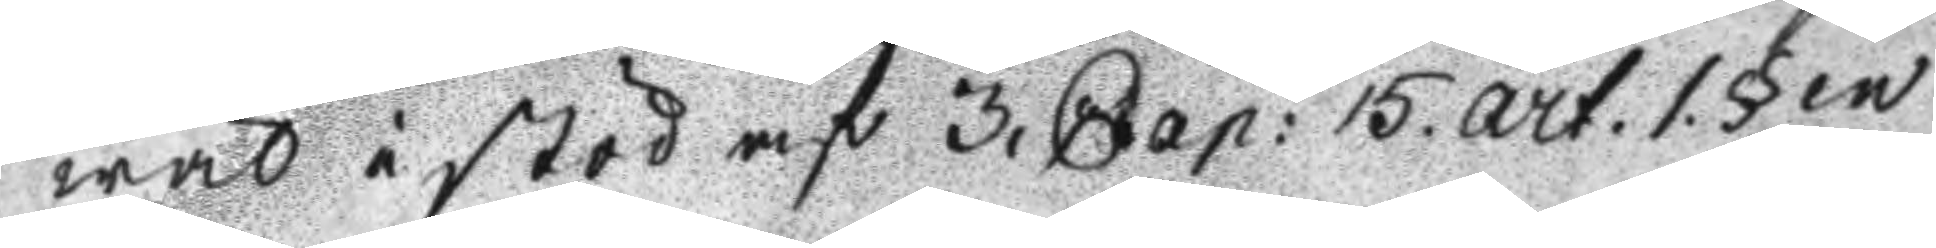wäl i stöd af 3. Cap: 15. art.1.§en
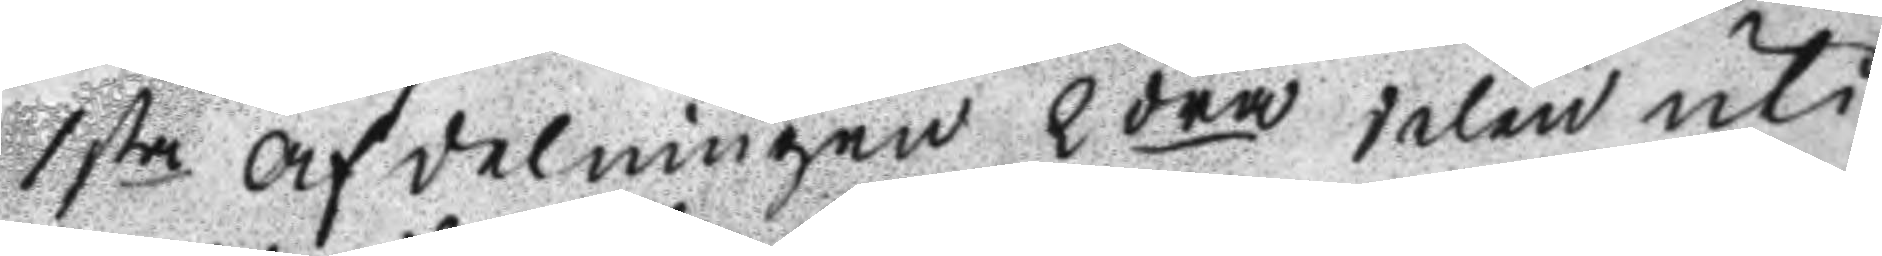1sta Afdelningen 2dra delen uti
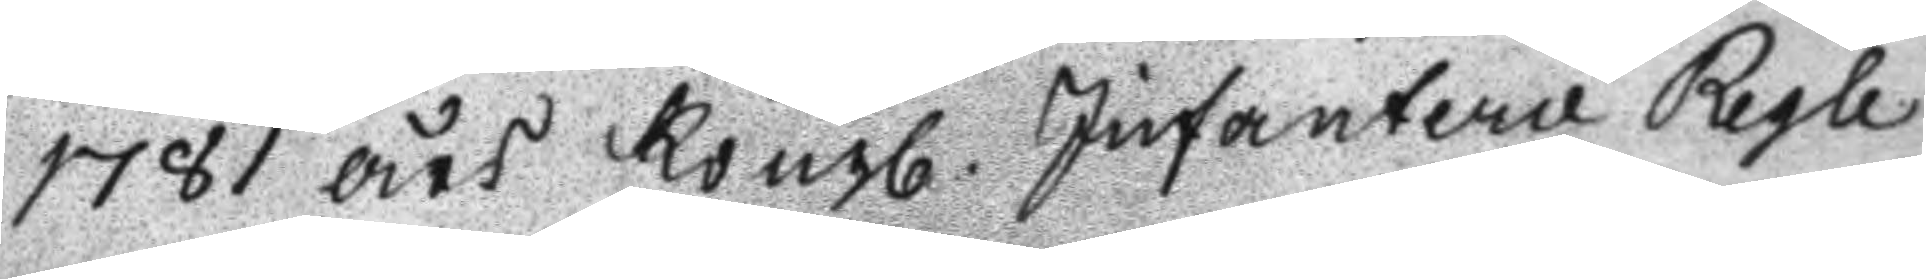1781 års Kongl. Infanterie Regle
